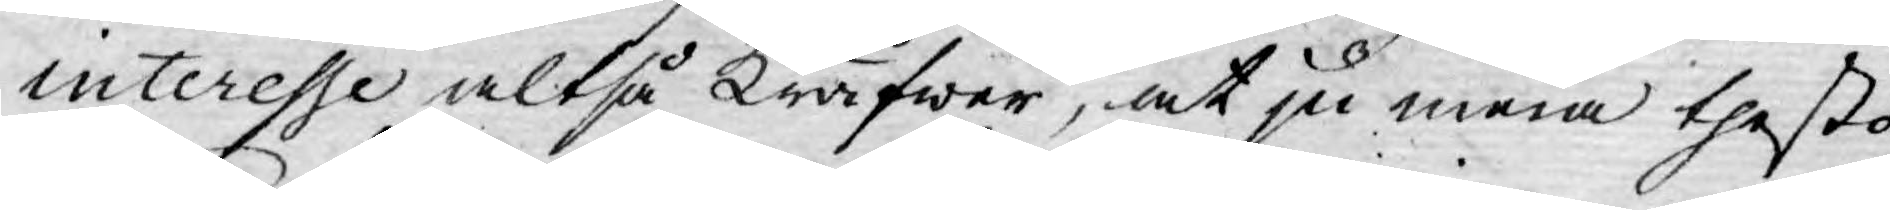interesse altså kräfwer, at ju mera thesto
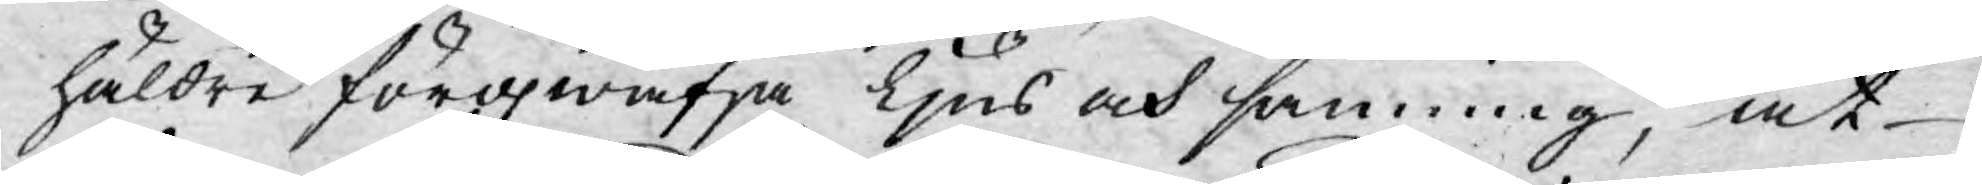häldre förqwäfja Ljus och sanning, at
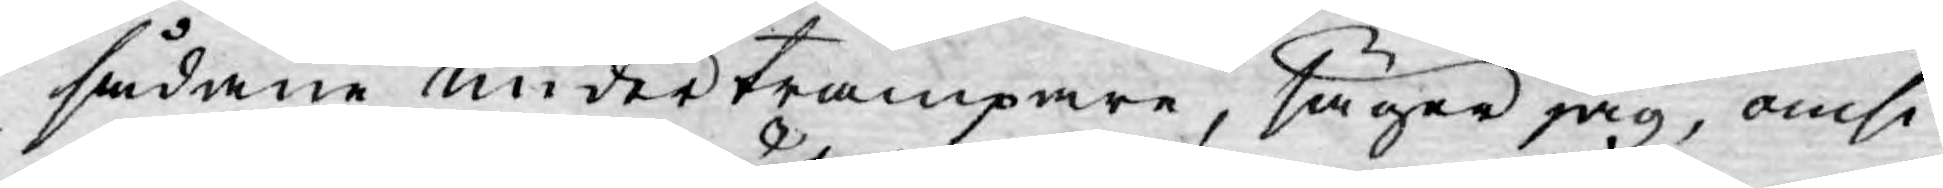sådane undertrampare, säger jag, omsi¬
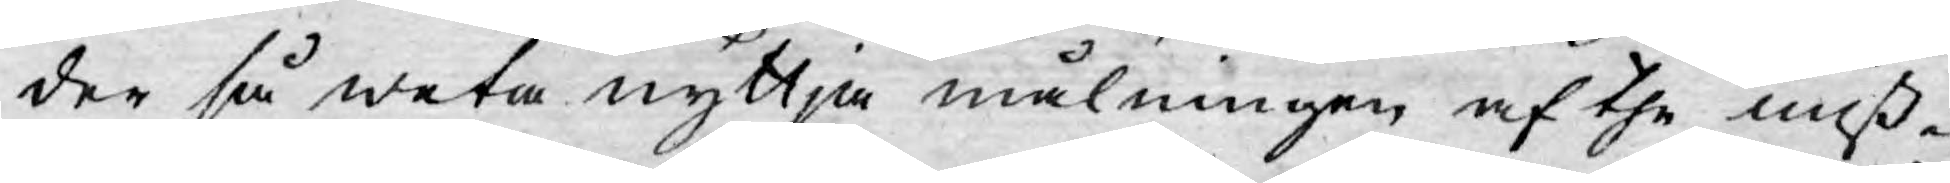der så weta nyttja målningen af the miß¬
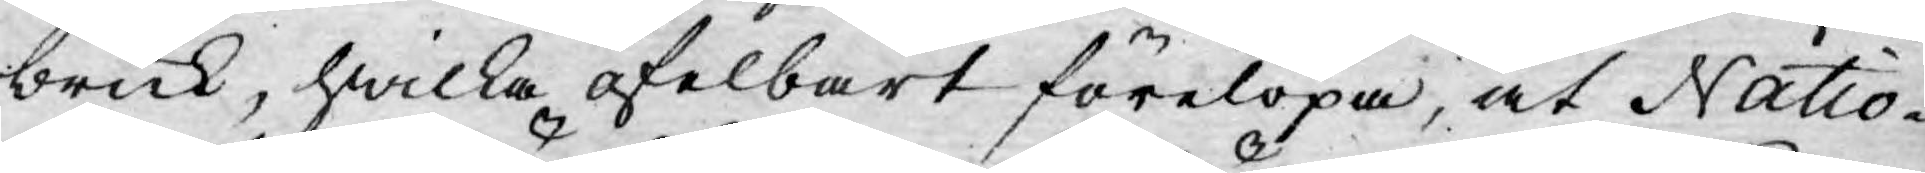bruk, hwilka ofelbart förelöpa, at Natio¬
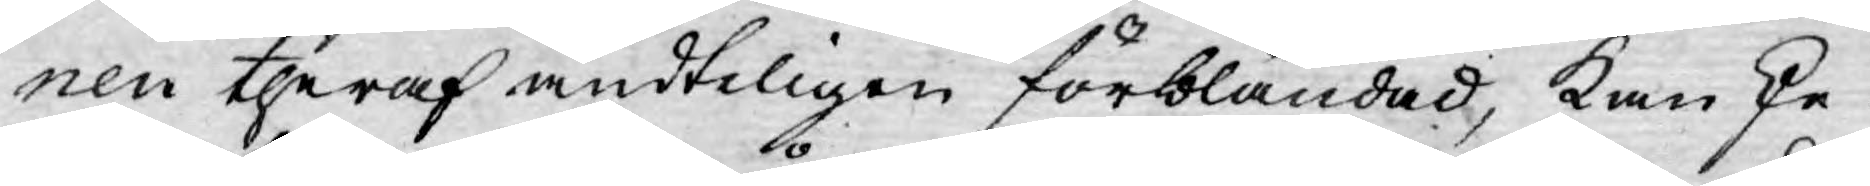nen theraf ändteligen förbländad, kanske
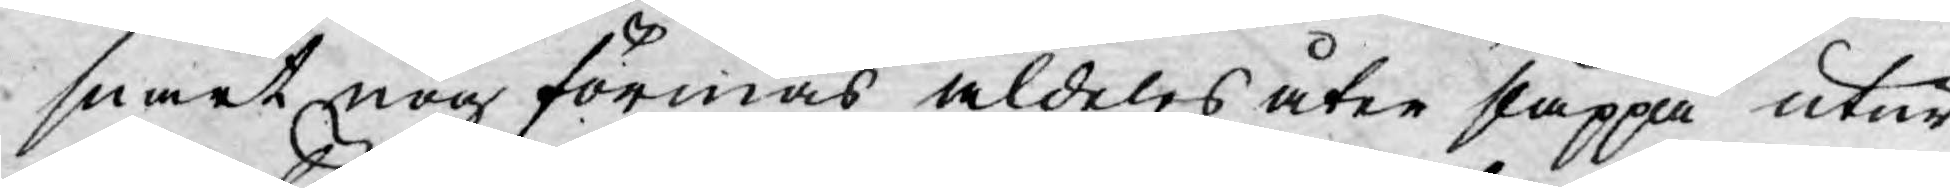snart nog förmås aldeles åter släppa utur
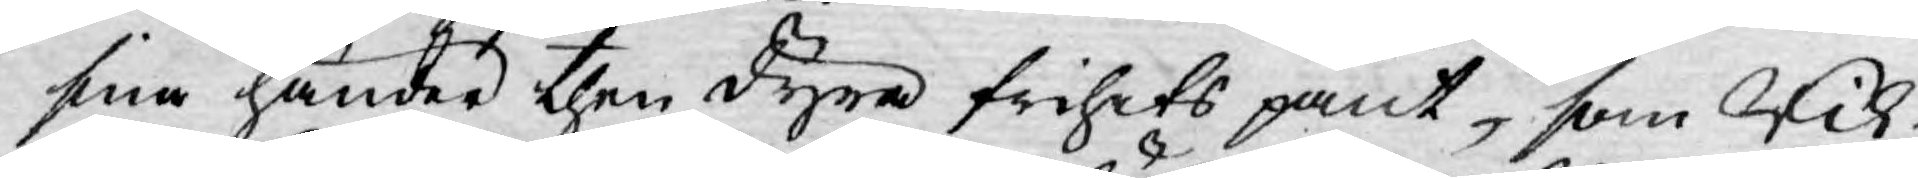sina händer then dyra frihets pant, som Rik¬
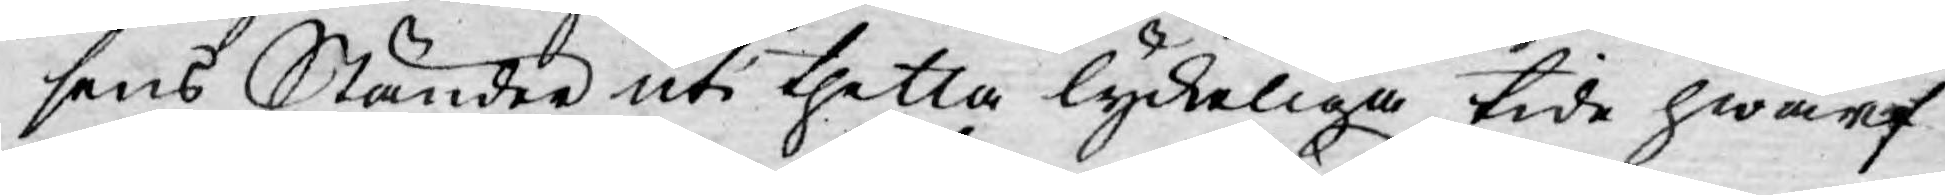sens Ständer uti thetta lyckeliga tide hwarf
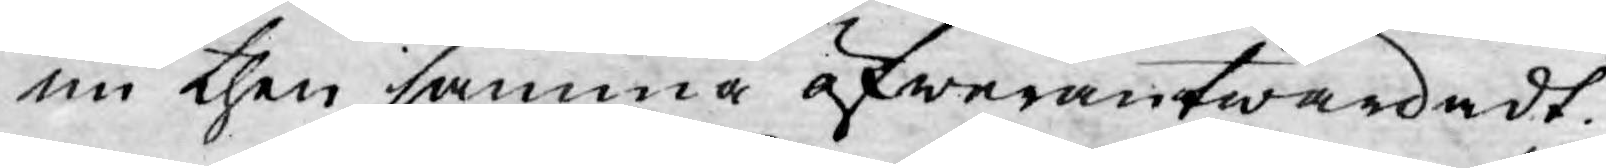nu then samma öfwerantwardadt.
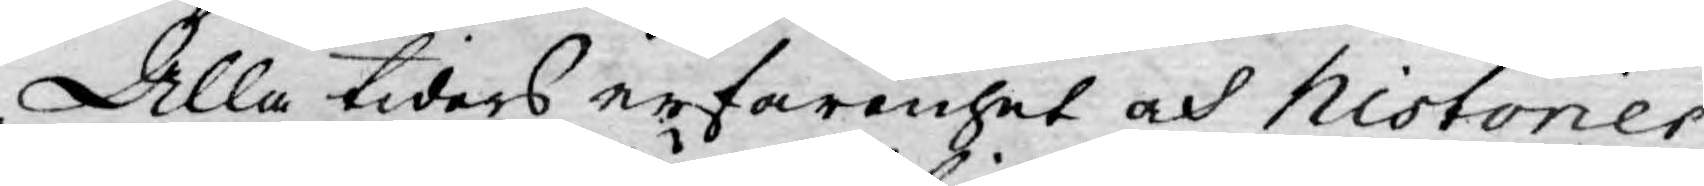Alla tiders erfarenhet och historier
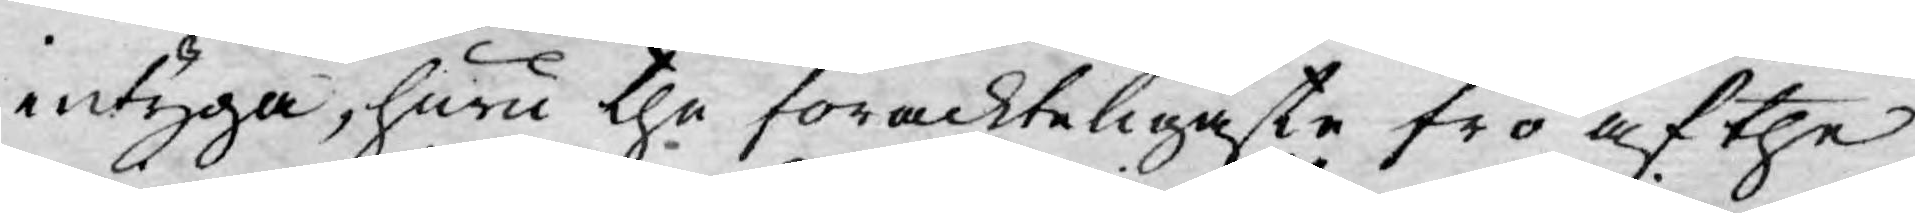intyga, huru the förackteligaste frö af the
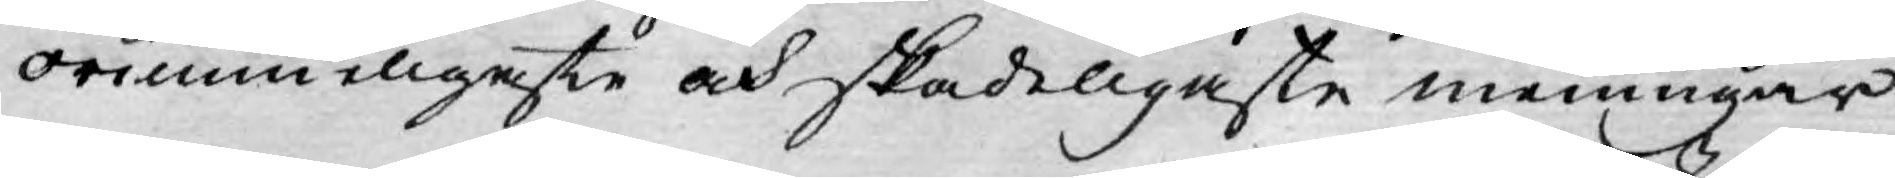orimmeligaste och skadeligaste meningar
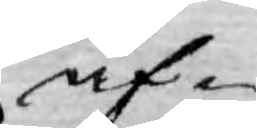äf¬
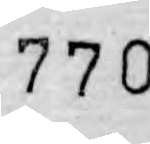770
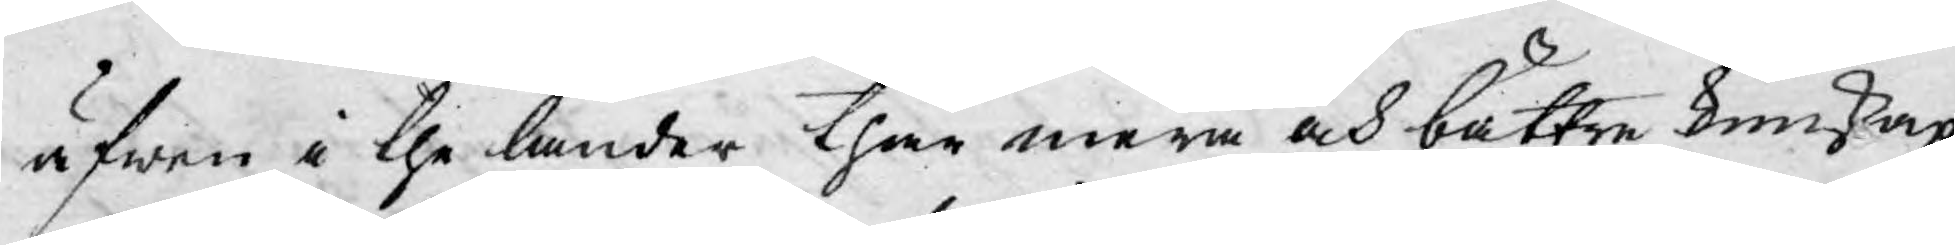äfwen i the länder thär mera och bättre kunskap
